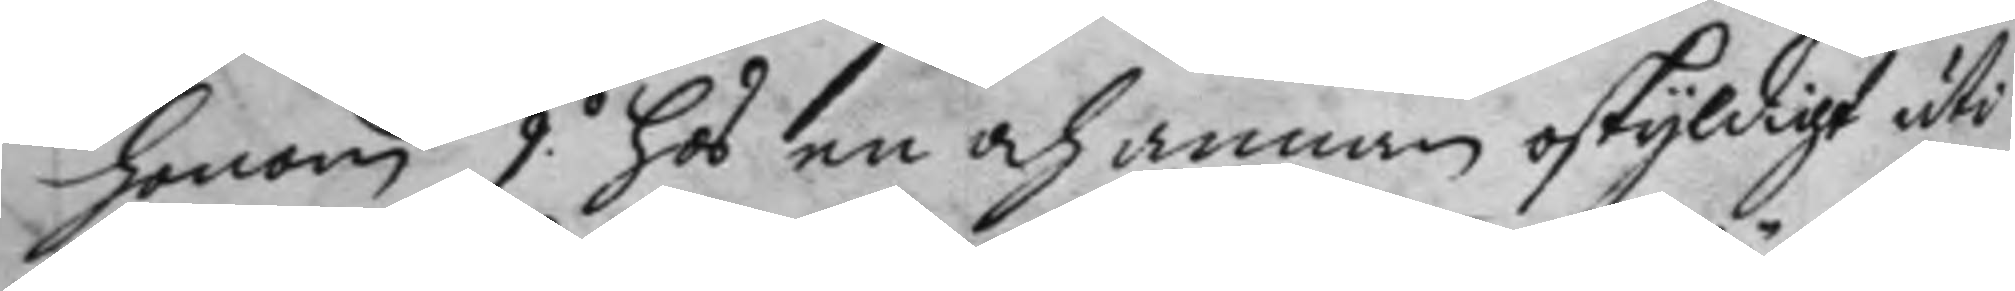honom 9.o hos en och annan oskyldigt uti
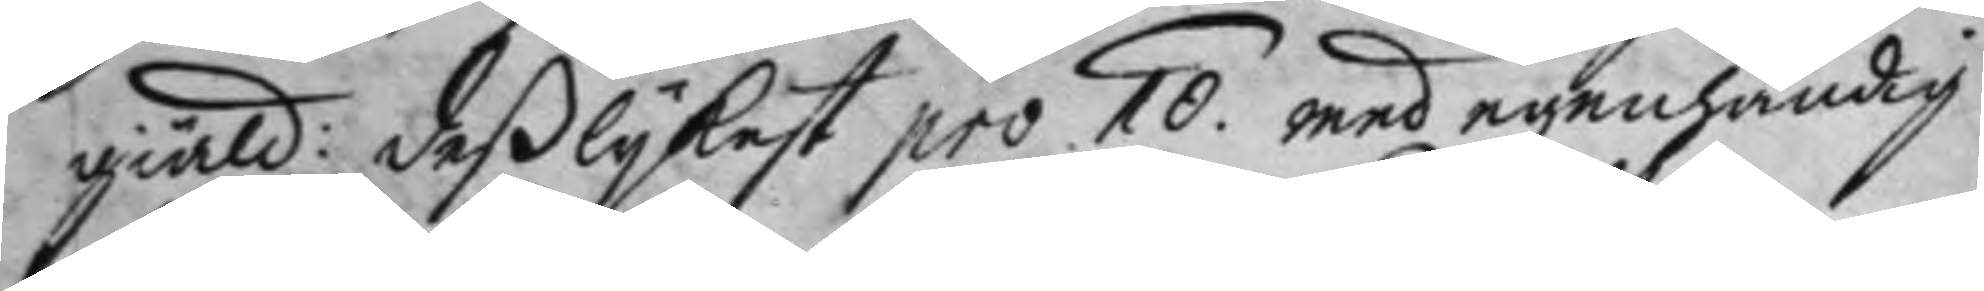giäld: deßlykes pro 10. med egenhändig
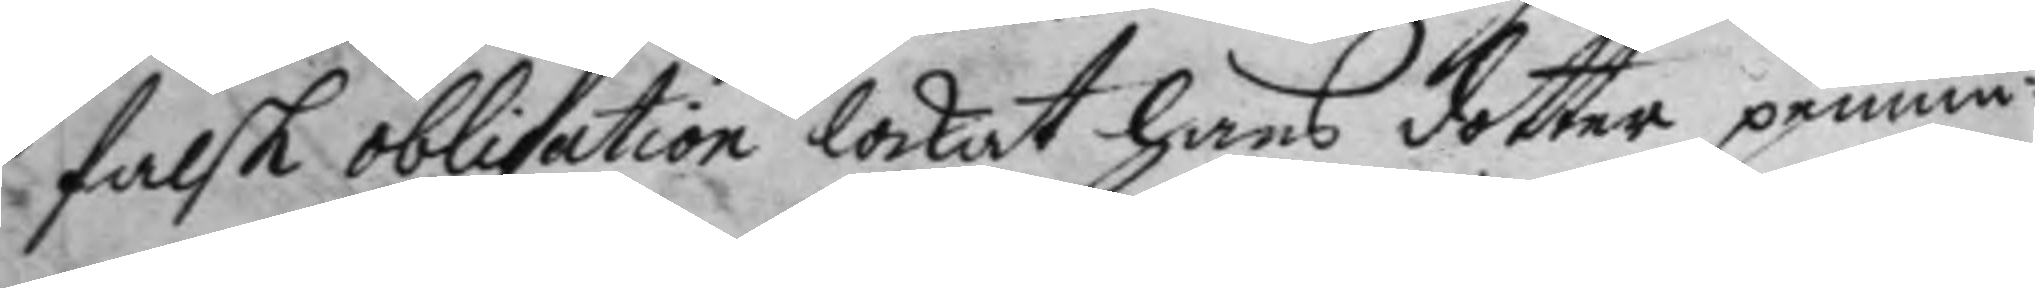falsk obligation lockat hans dotter pennin¬
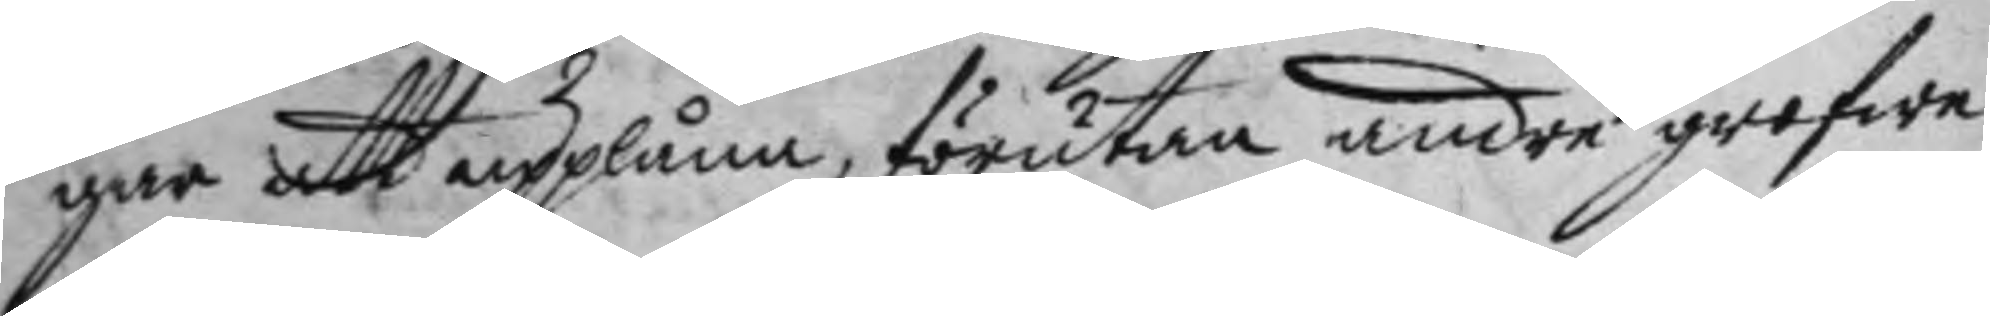gar att upplåna, förutan andre grofwe
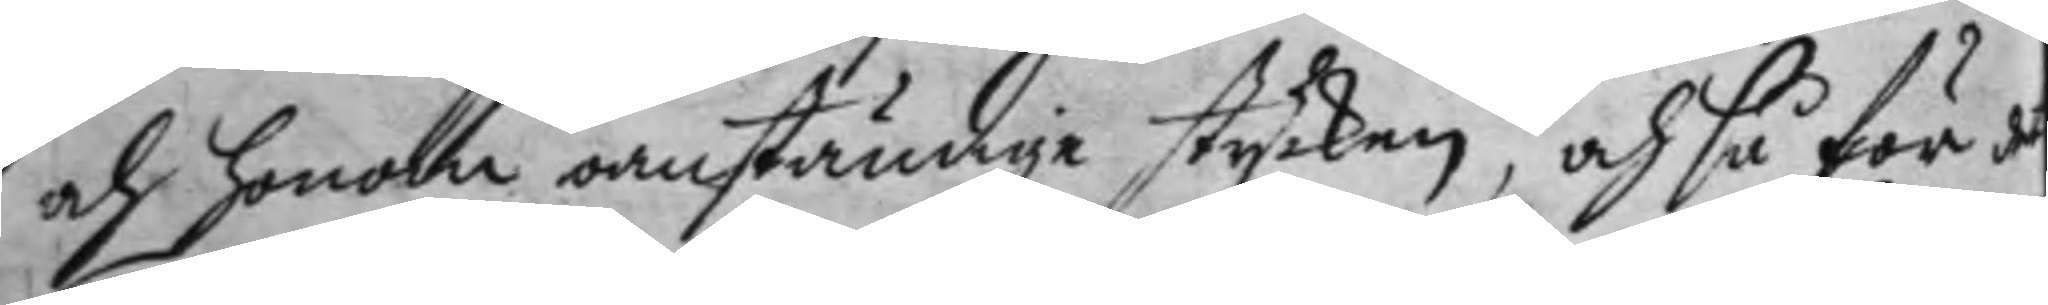och honom oanständige stycken, och så för det
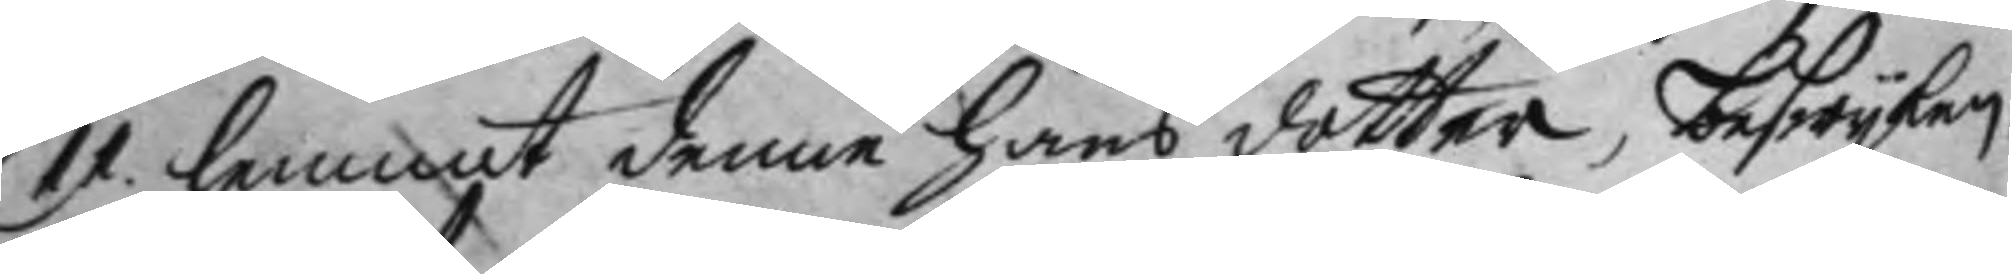11. lemnat denne hans dotter, beswyken,
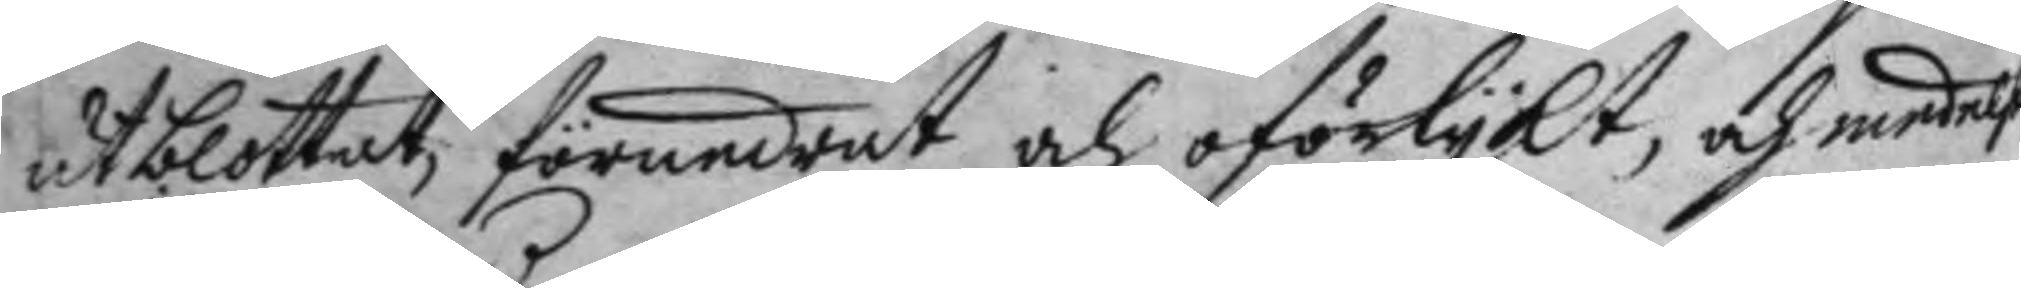utblottat, förundrat och oförlykt, och medelst
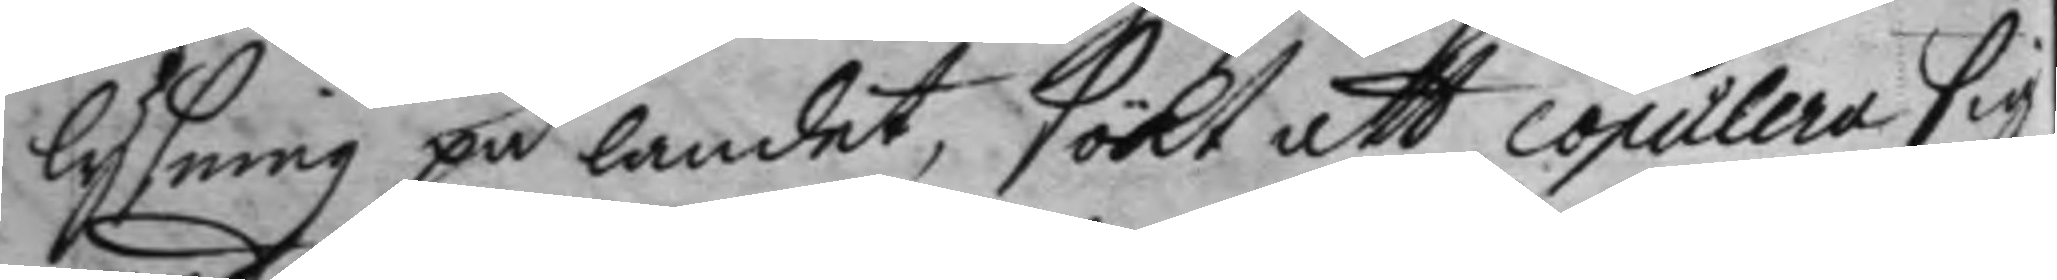lysning på landet, sökt att copulera sig
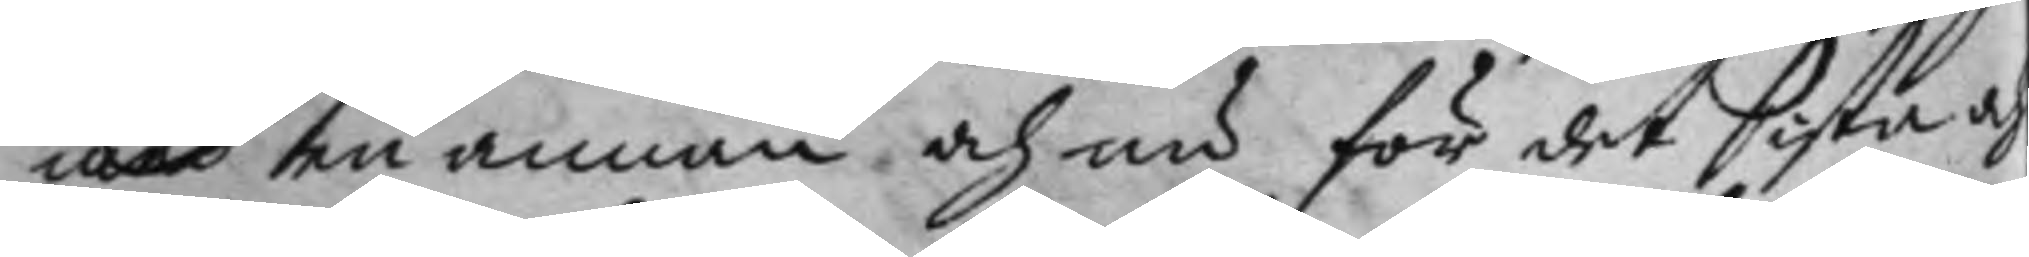med en annan och nu för det sista och
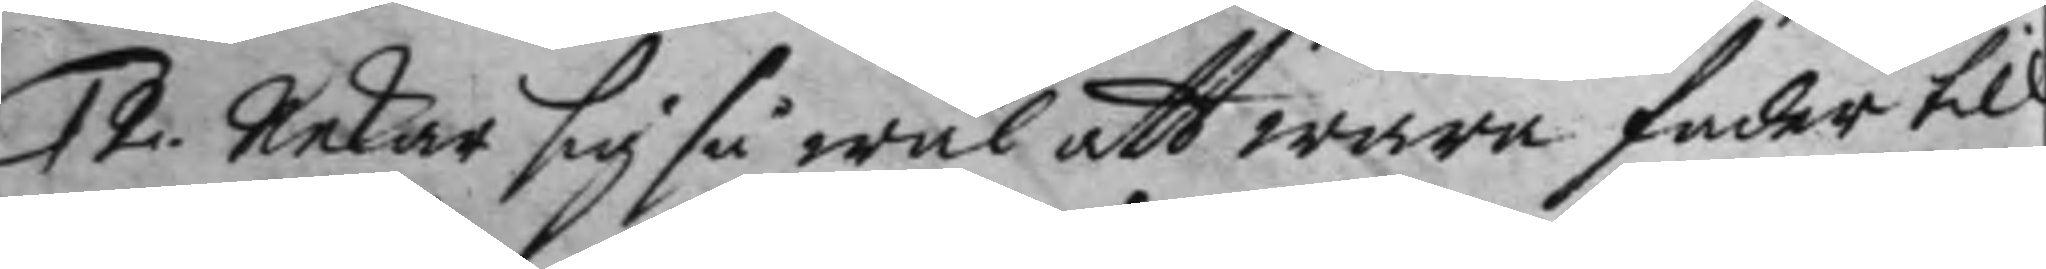12. nekar sig så wäl wara fader till
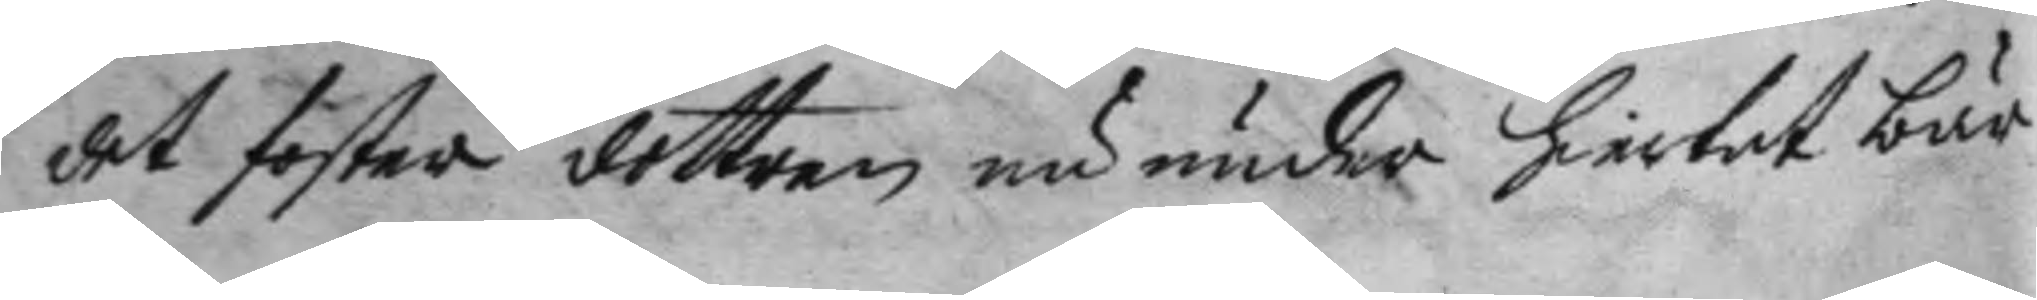det foster dottren nu under hiertat bär
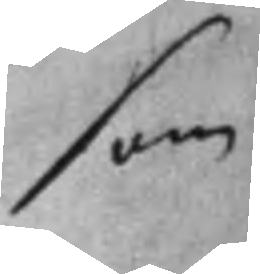som
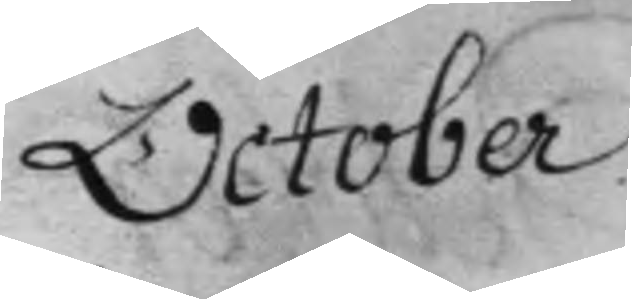October
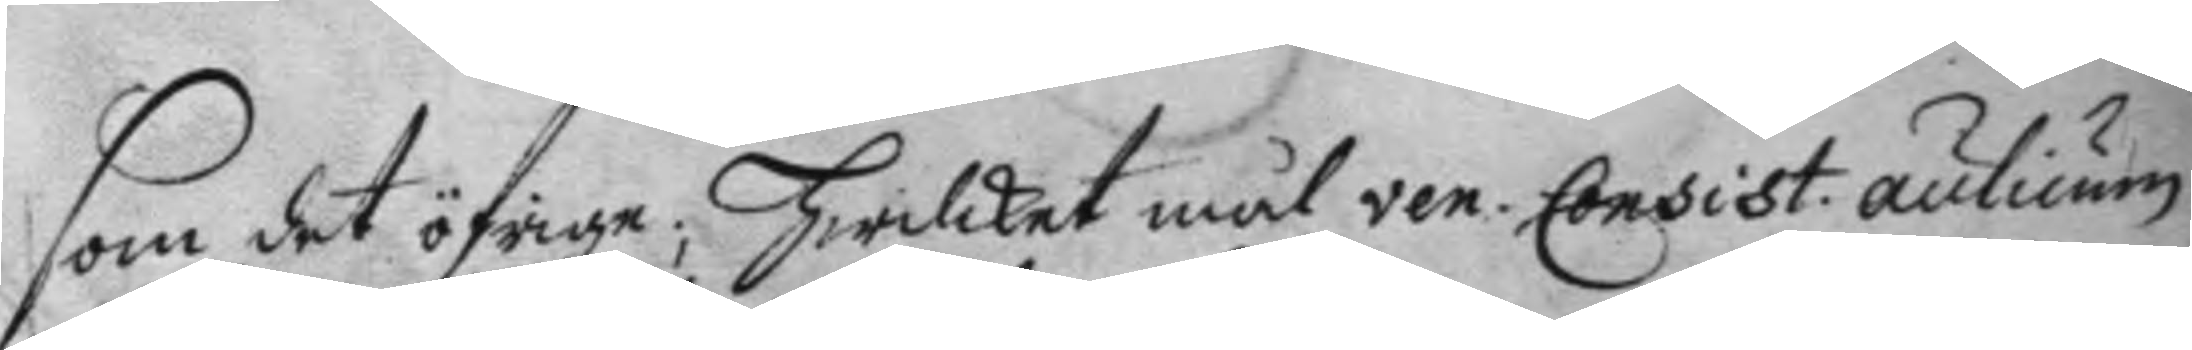som det öfrige; hwilket mål ven. Consist. aulicum
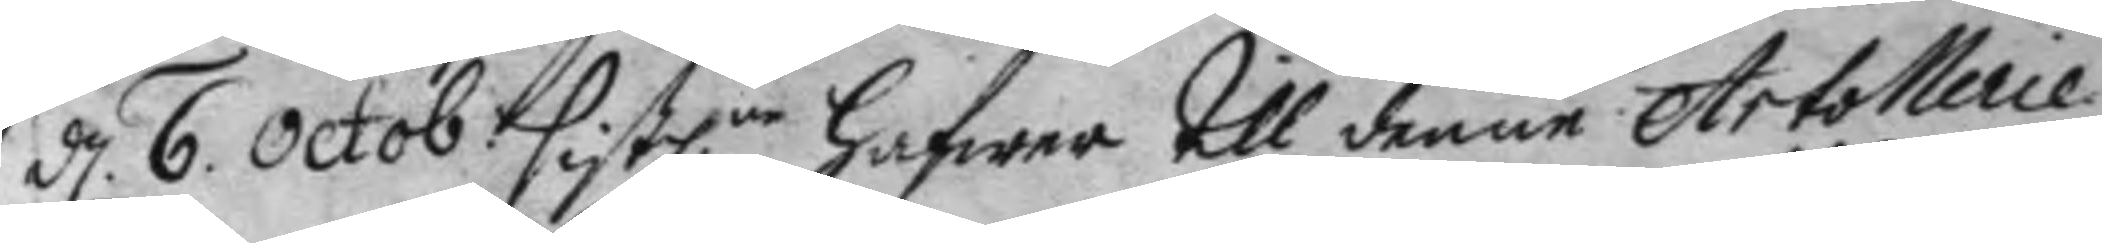d. 6. octob. sistl.ne hafwa till denne Atrollerie
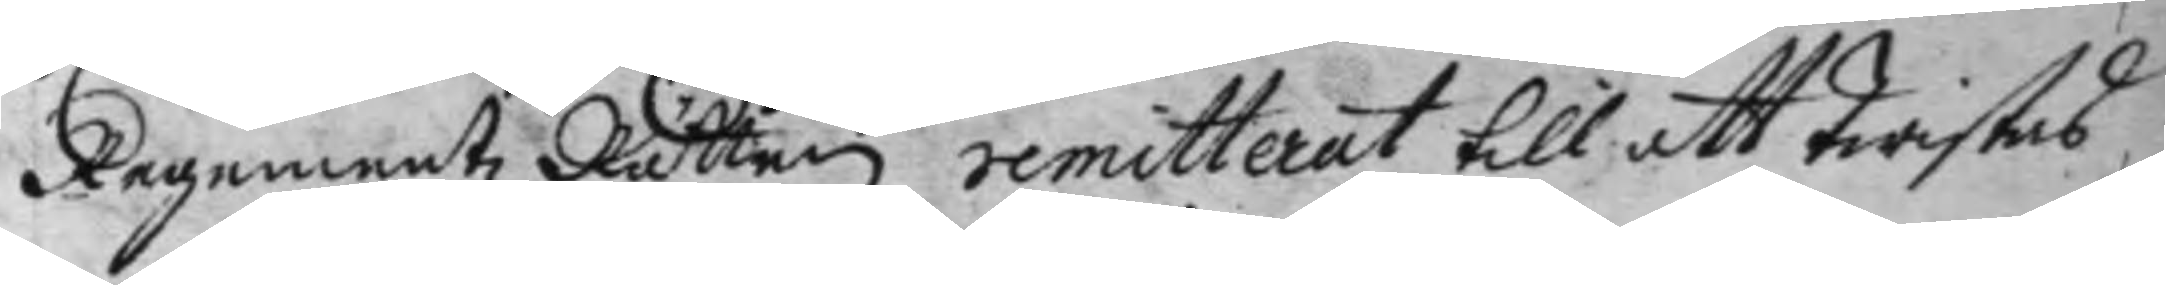Regementz Rätten remitterat till att Twistas
